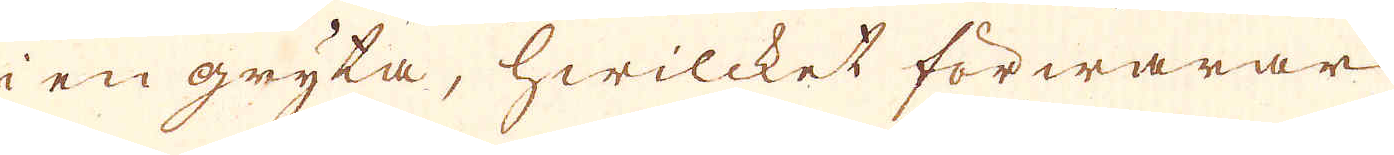i en gryta, hwilcket förwarar
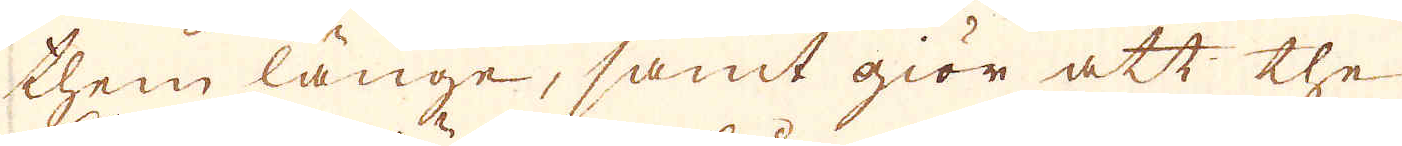them länge, samt giör att the
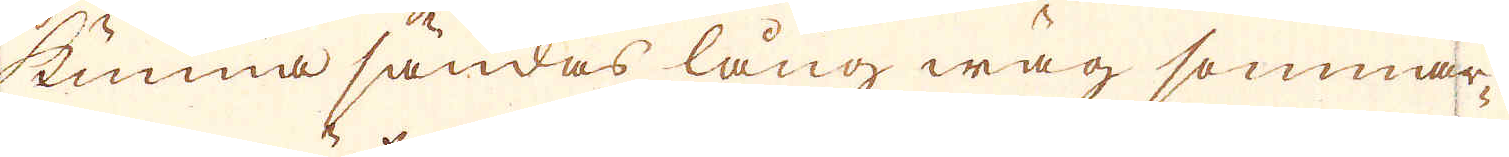kunna sändas lång wäg sommar-
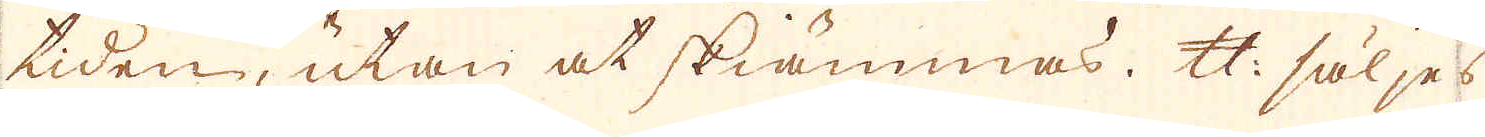tiden, utan at skiämmas. Skålpund säljes
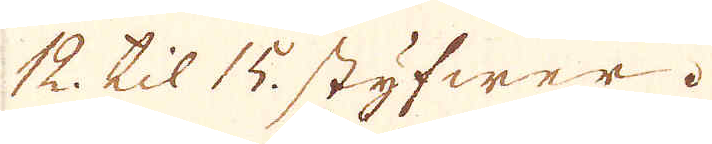12. til 15. styfwer.
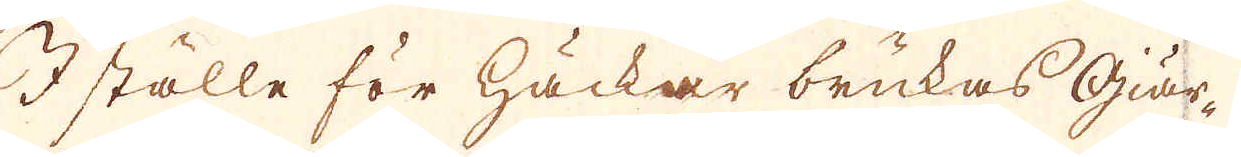I ställe för häckar brukas giär-
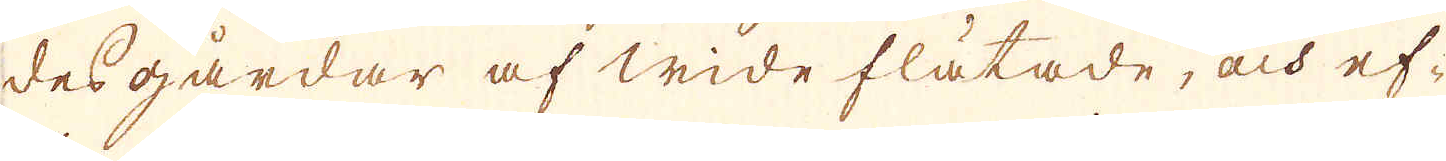desgårdar af wide flätade, och ef-
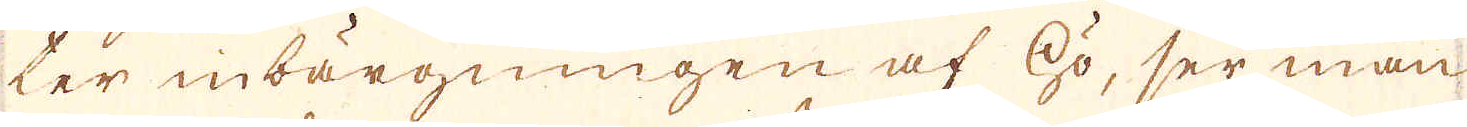ter inbärgningen af hö, ser man
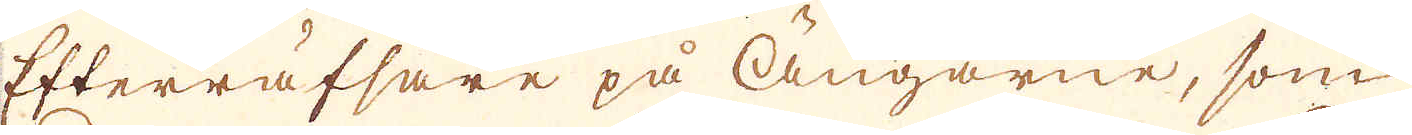Efterräfsare på ängarne, som
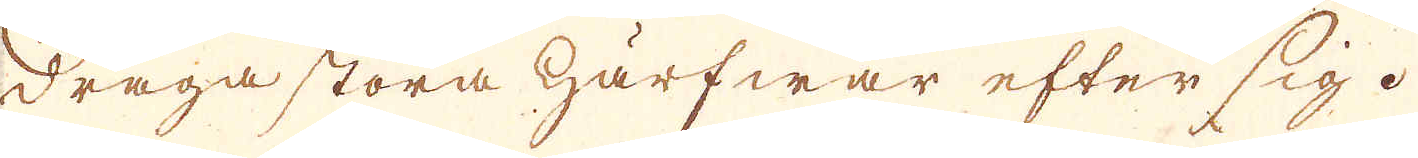draga stora härfwar efter sig.
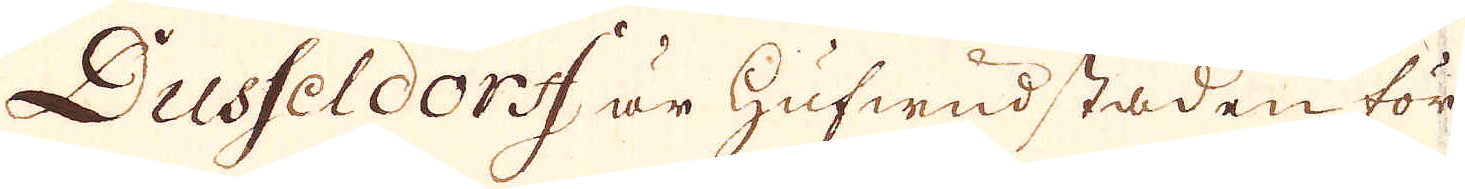Dusseldorff är hufwudstaden för
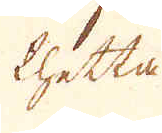thetta
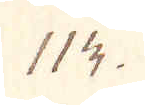114.
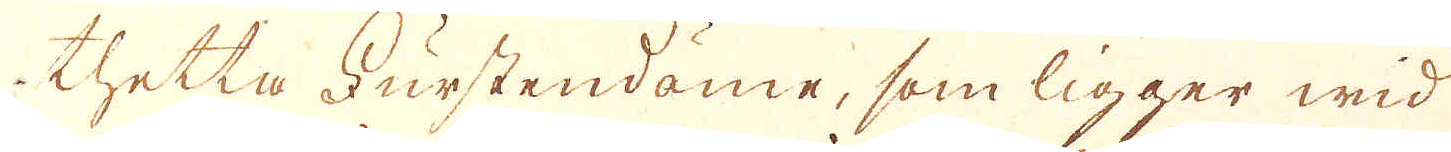thetta Furstendöme, som ligger wid
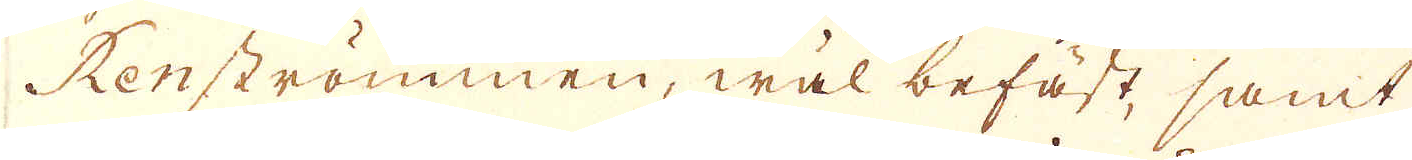Renströmmen, wäl befäst, samt
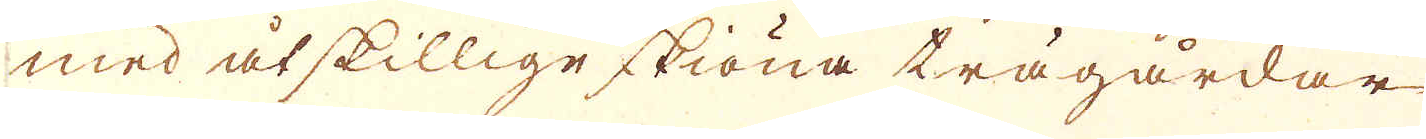med åtskillige skiöna trägårdar
